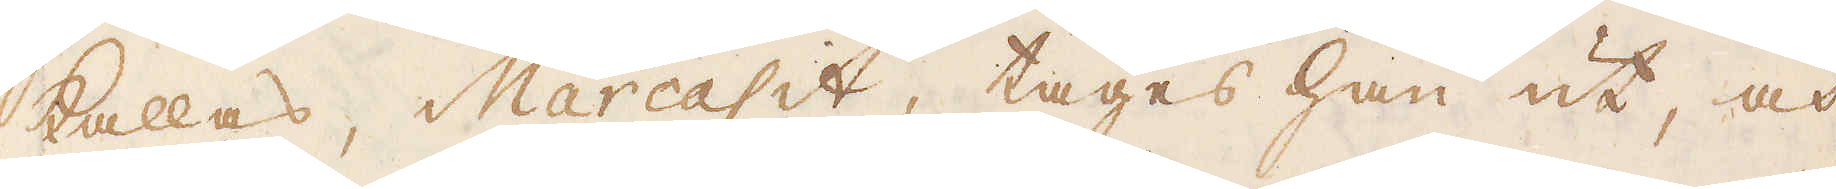kallas, Marcasit, tages han ut, och
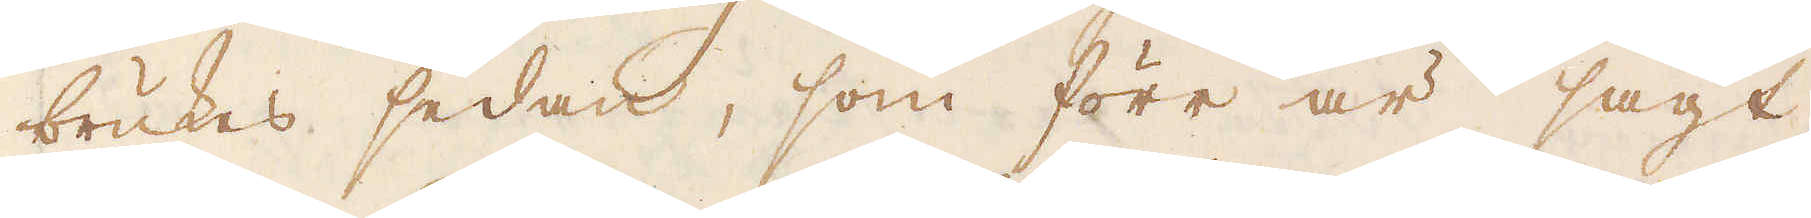brukes sedan, som förr är sagt,
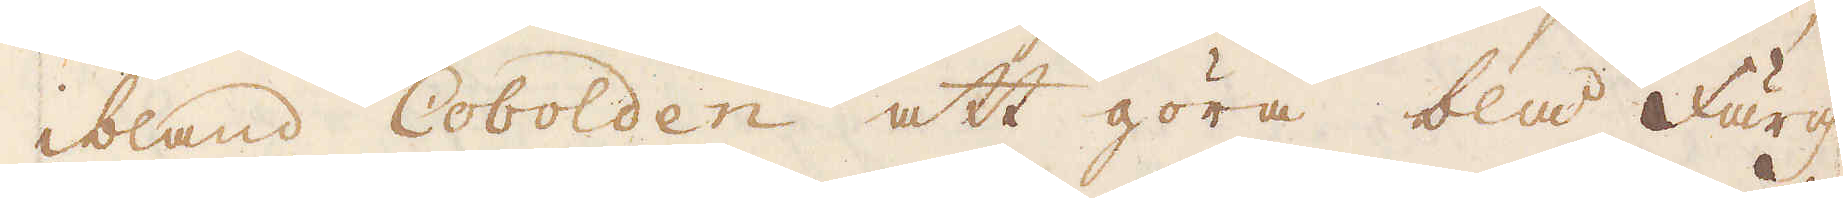ibland Cobolden att göra blå färg.
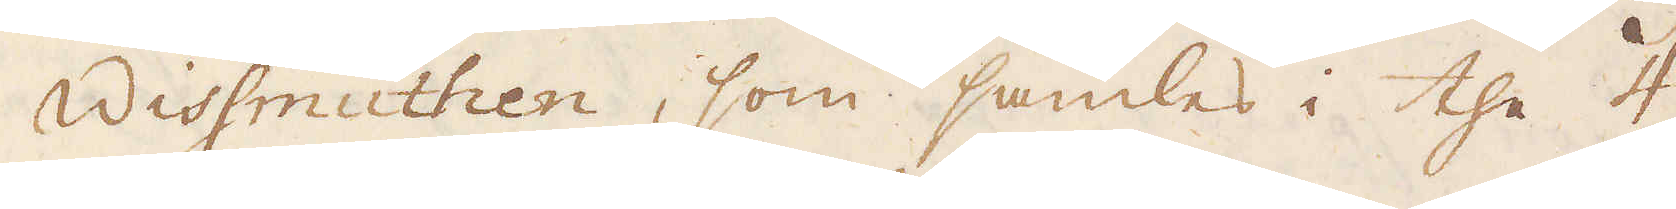Wissmuthen, som samlas i the 4
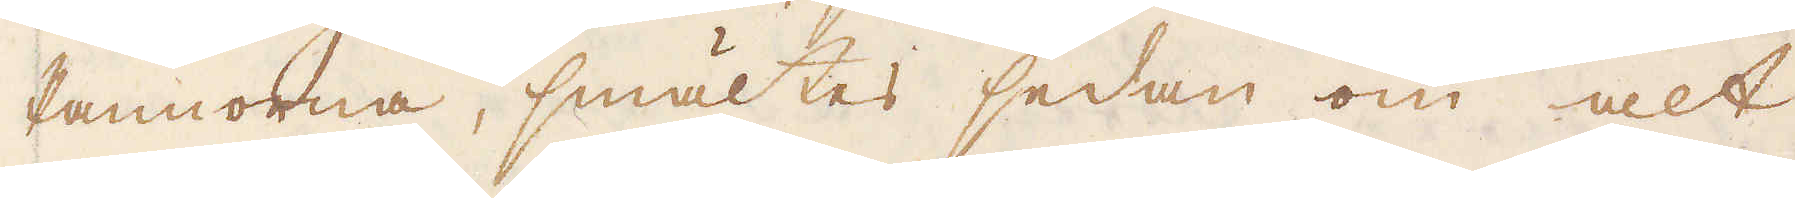Pannorna, smältes sedan om alt
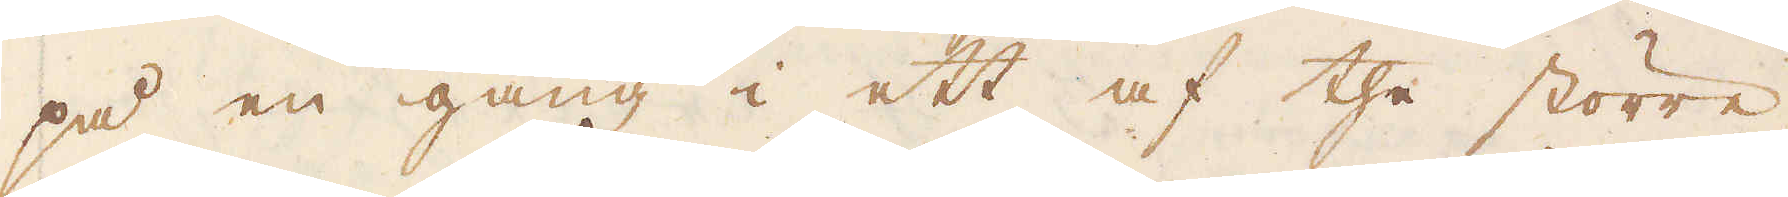på en gång i ett af the större
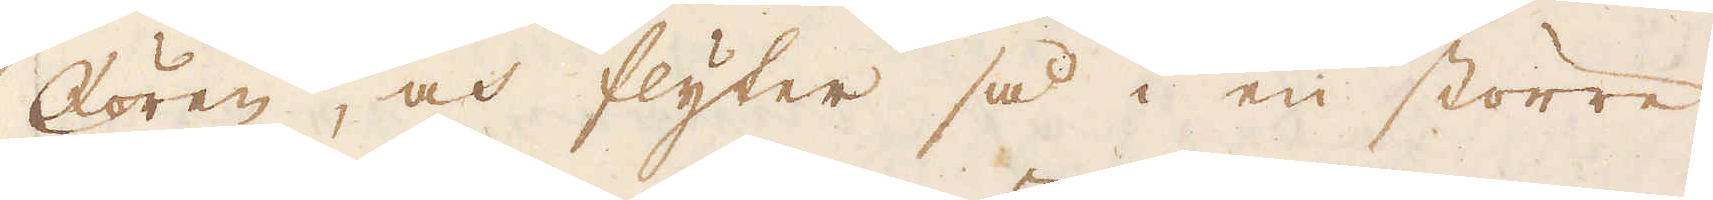Kören, och flyter så i en större
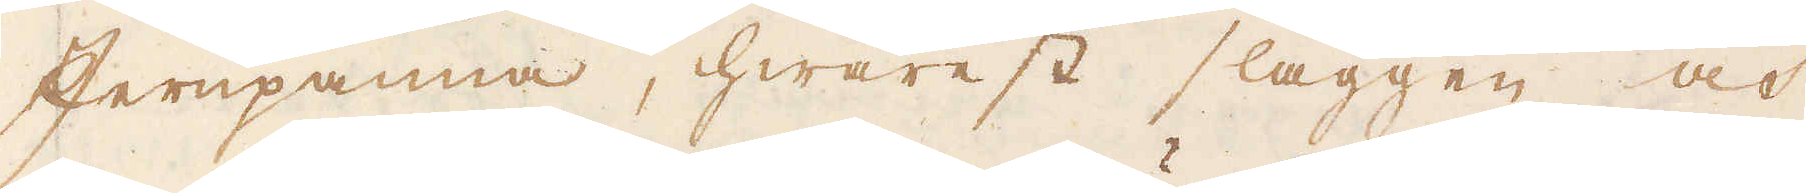Jernpanna, hwarest slaggen och
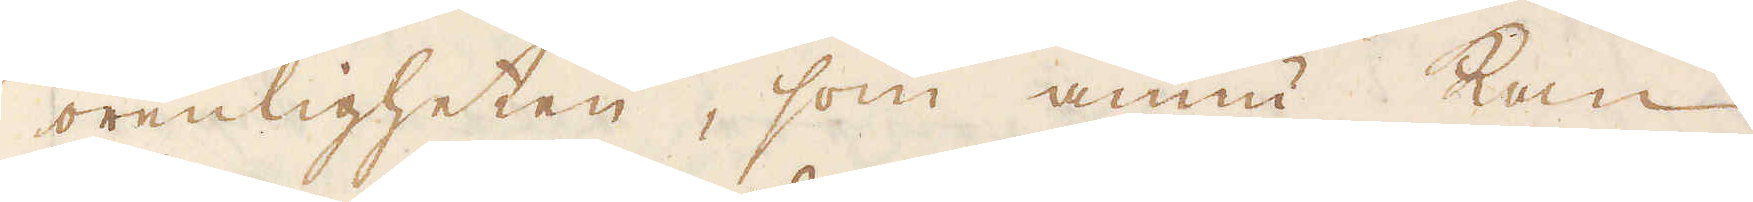orenligheten, som ännu kan
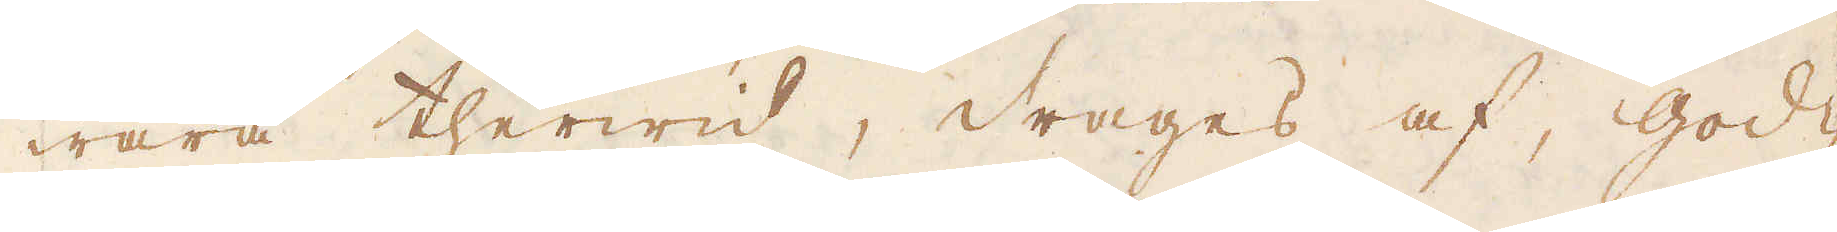wara therwid, drages af, god-
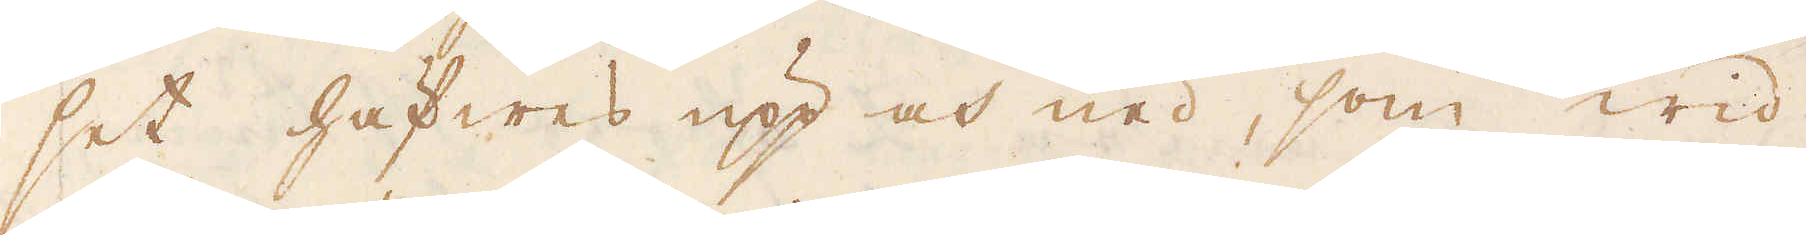set häfwes upp och ned, som wid
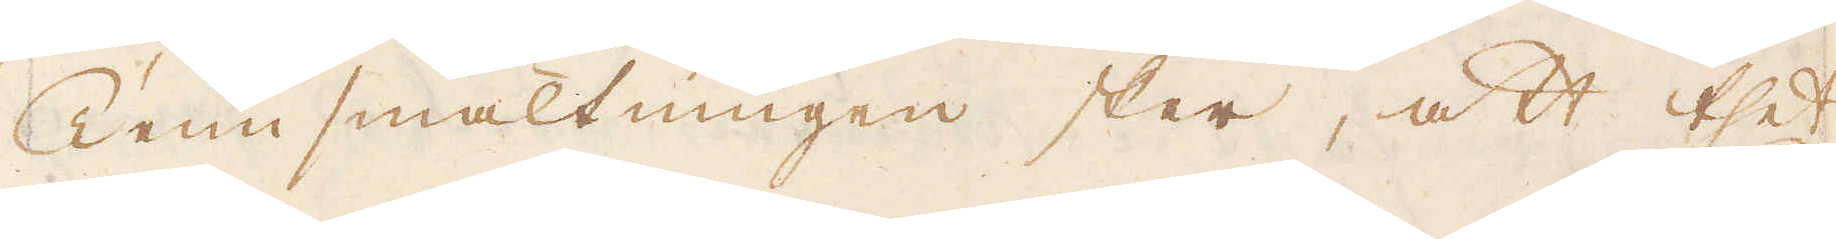Tenn smältningen sker, att thet
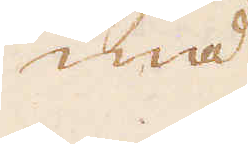må
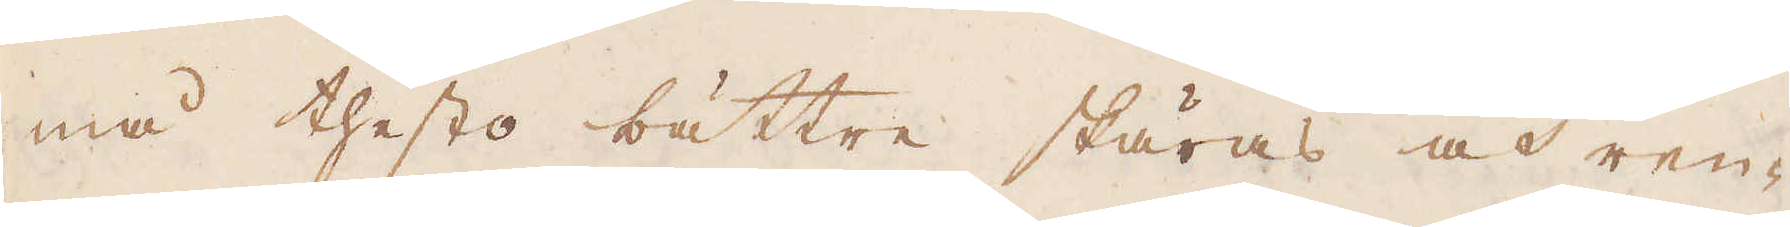må thesto bättre skäras och ren-
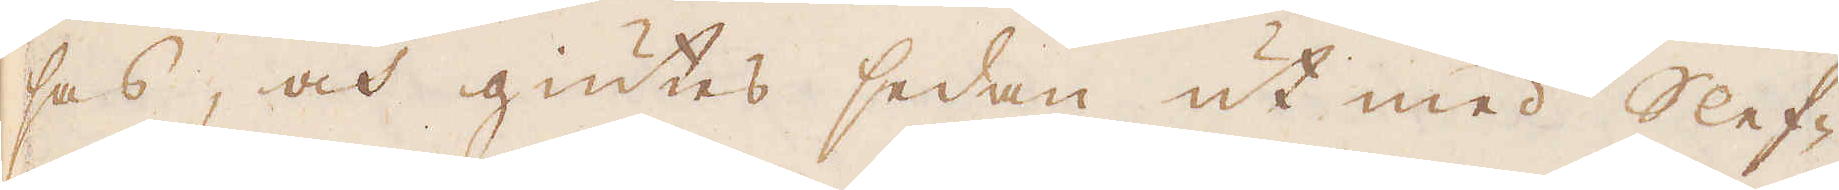sas, och giutes sedan ut med Slef-
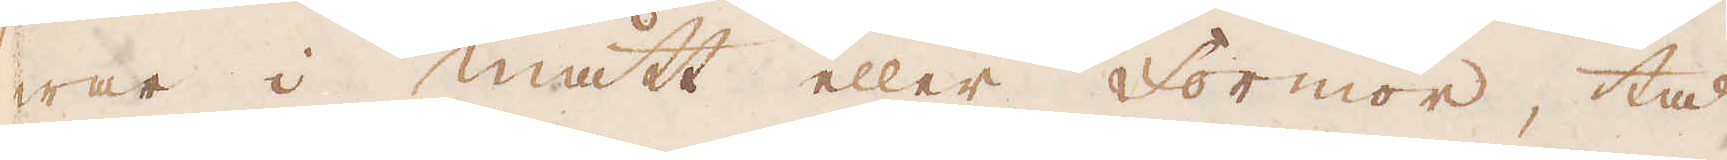war i mått eller Formor, tå
